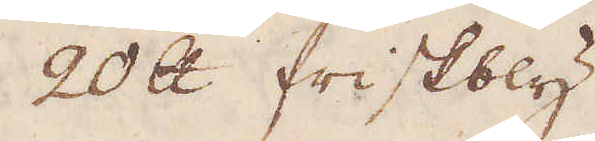20 skålpund friskbly
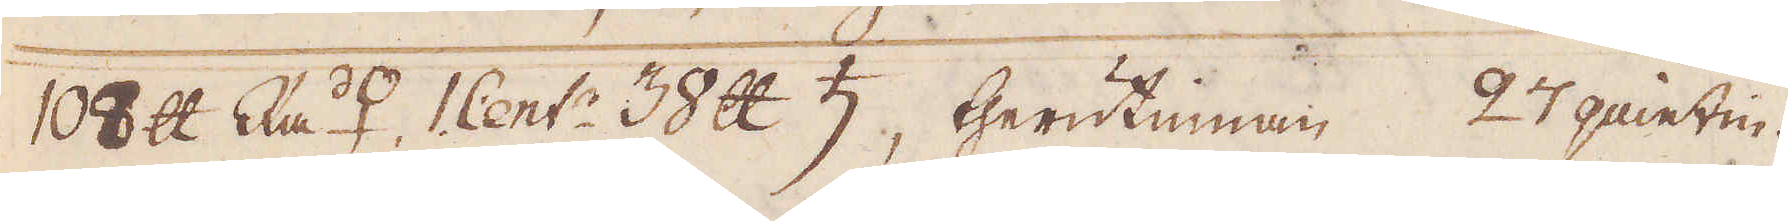108 skålpund Rå ♀. 1 Cent: 38 skålpund ♄, therutinnan 27 quintin.
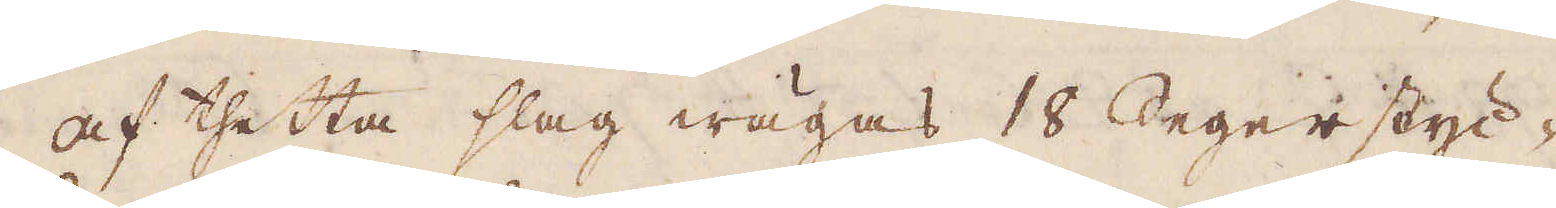Af thetta slag wägas 18 Segerstyc-
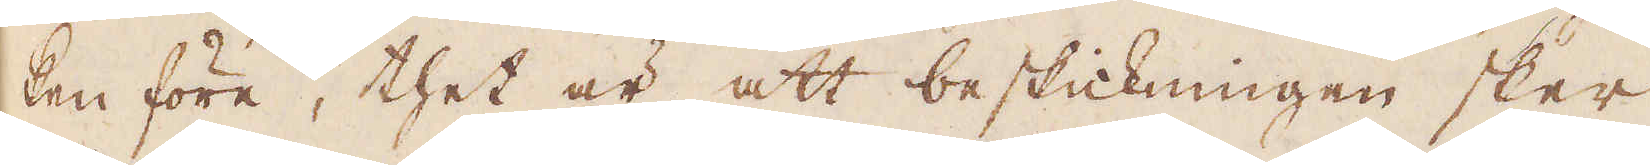ken före, thet är att beskickningen sker
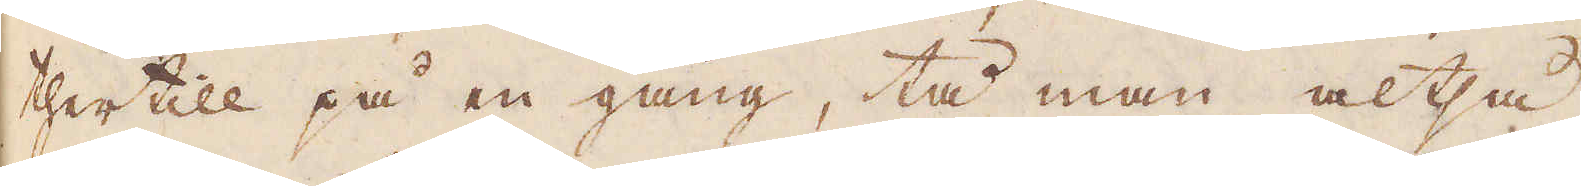thertill på en gång, tå man altså
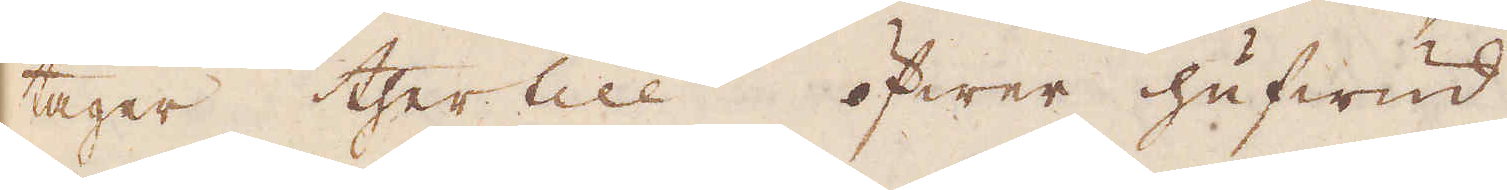tager thertill öfwer hufwud
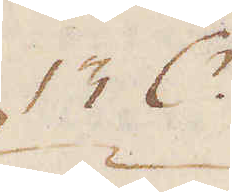13 C:r
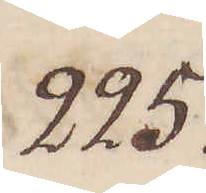225.
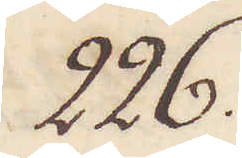226.
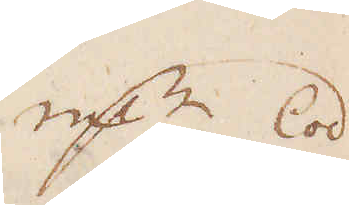qv:r Lod
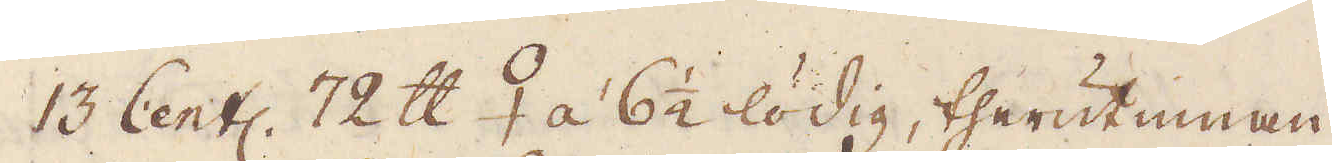13 Cent: 72 skålpund 2 á 6 1/2 lödig, therutinnan
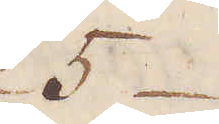5
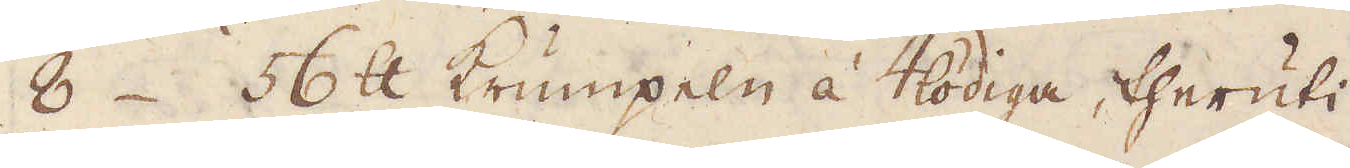8. 56 skålpund Krumpeln á 4lodiga, theruti
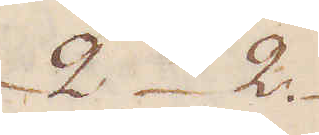2 2.
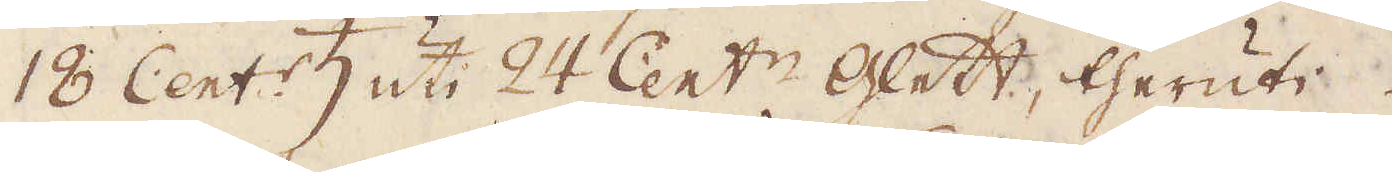18 Cent:r ♄ uti 24 Cent:r Glett, theruti
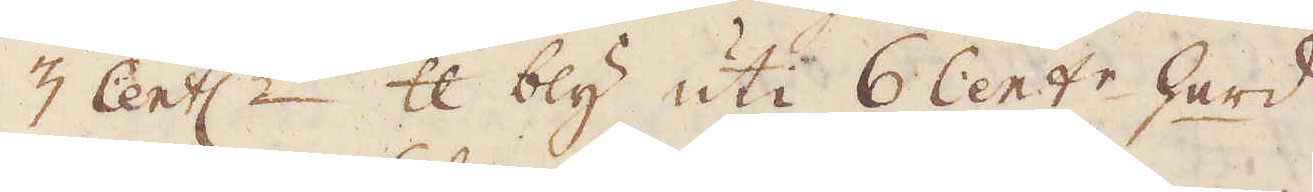3 Cent:r 3 skålpund bly uti 6 Cent:r herd,
